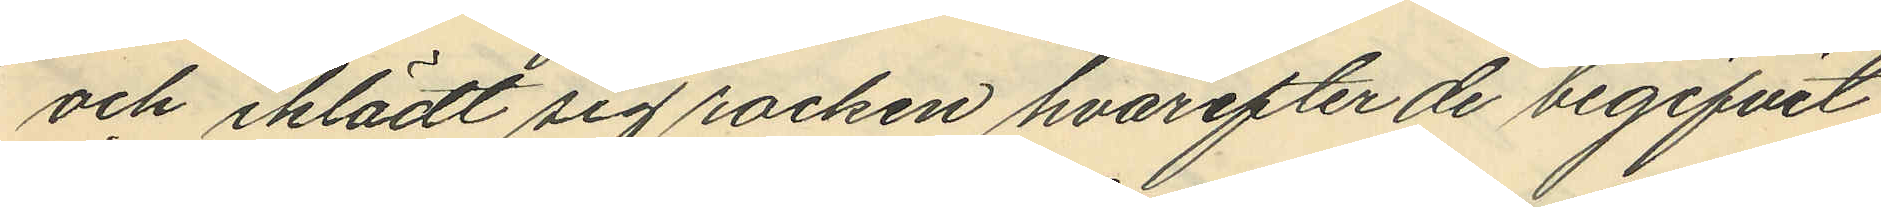och iklädt sig rocken hvarefter de begifvit
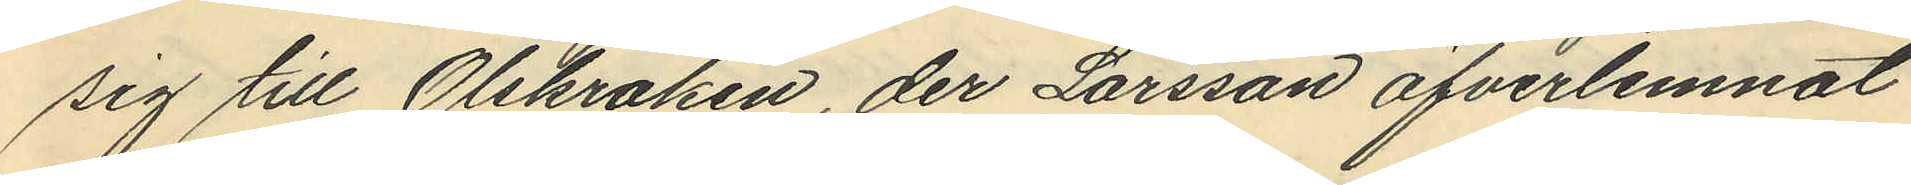sig till Olskroken, der Larsson öfverlemnat
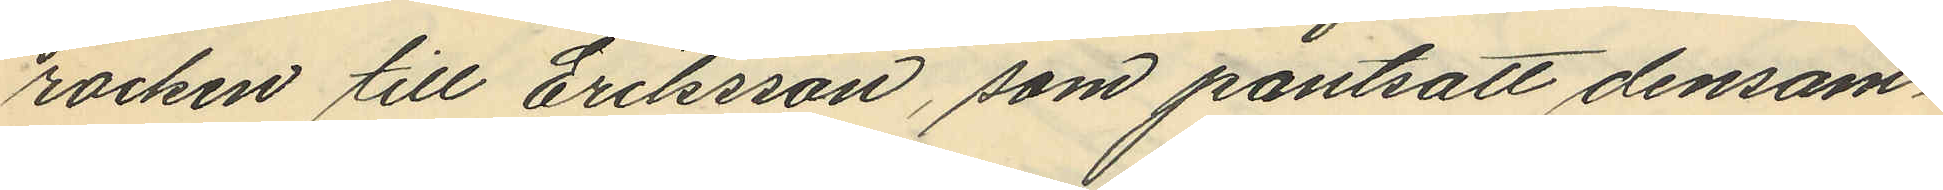rocken till Eriksson, som pantsatt densam¬
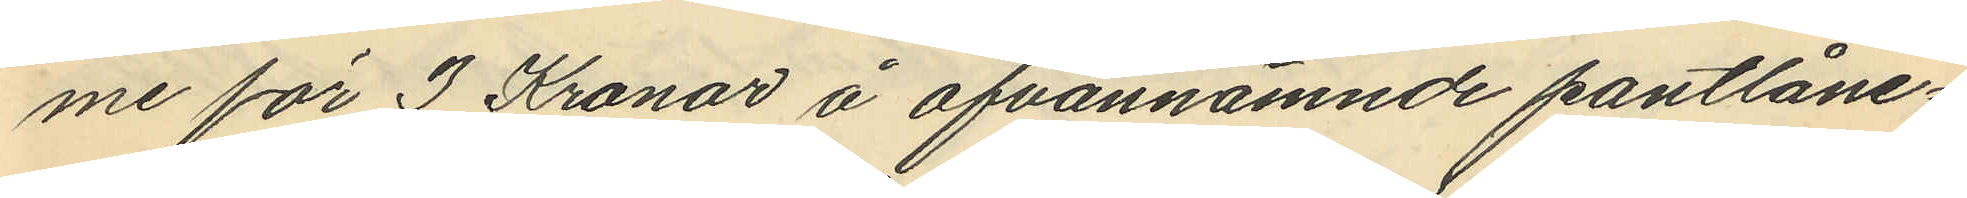me för 3 Kronor å ofvannämnde pantlåne¬
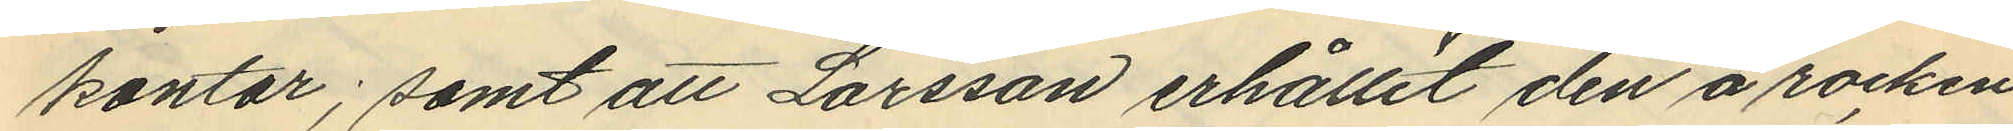kontor; samt att Larsson erhållit den å rocken
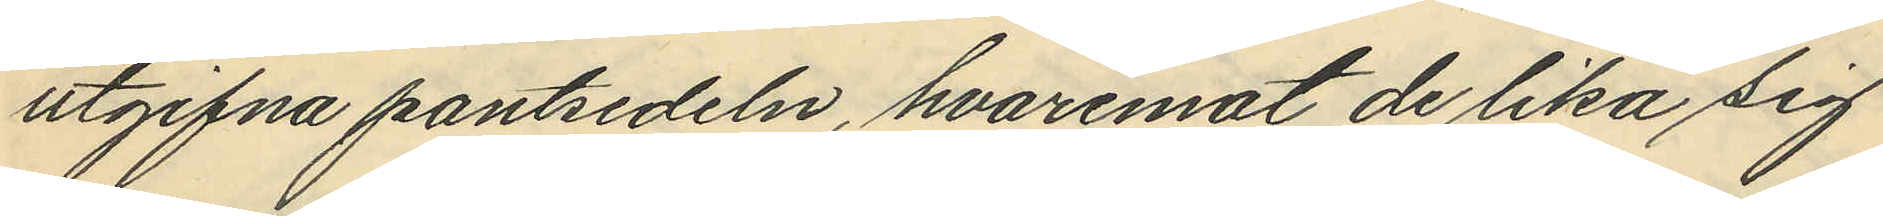utgifna pantsedeln, hvaremot de lika sig
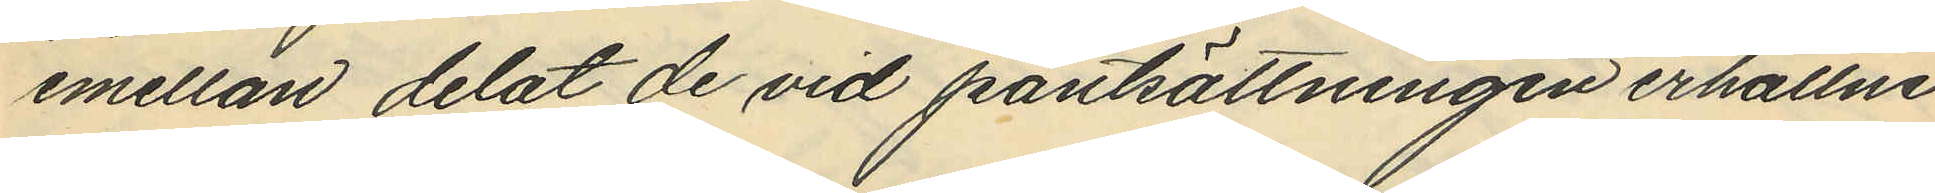emellan delat de vid pantsättningen erhållne
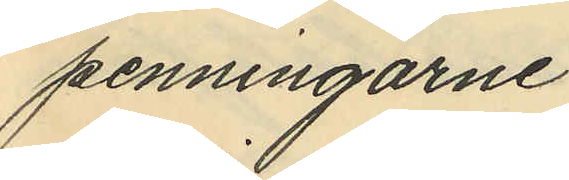penningarne.
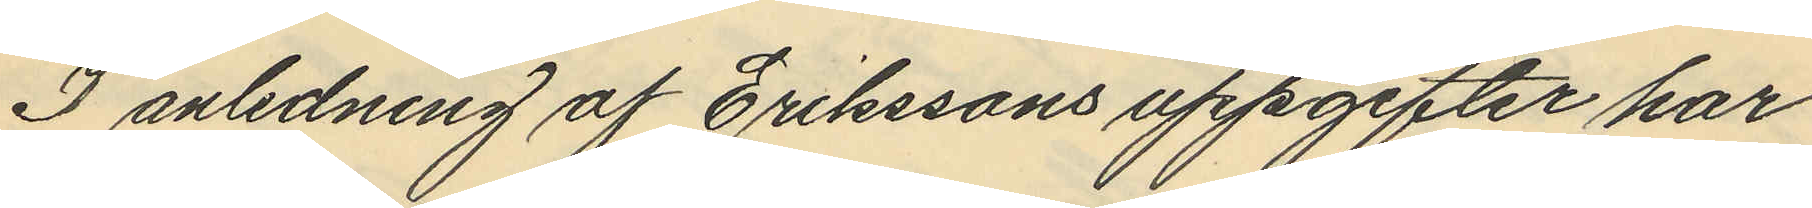I anledning af Erikssons uppgifter har
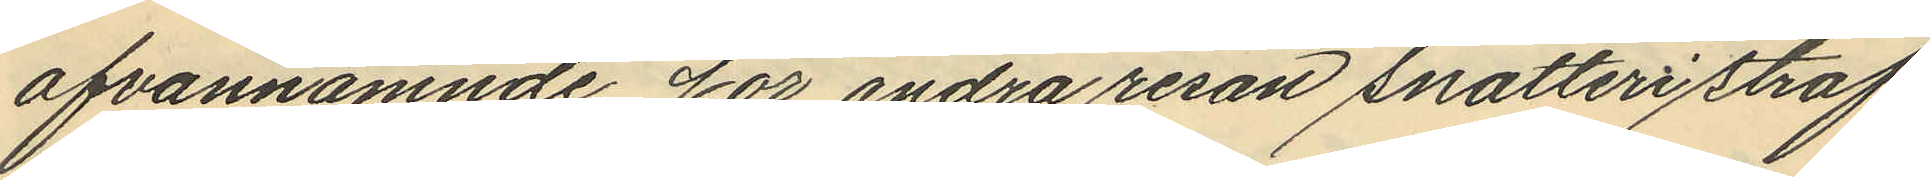ofvannämnde för andra resan snatteri straf¬
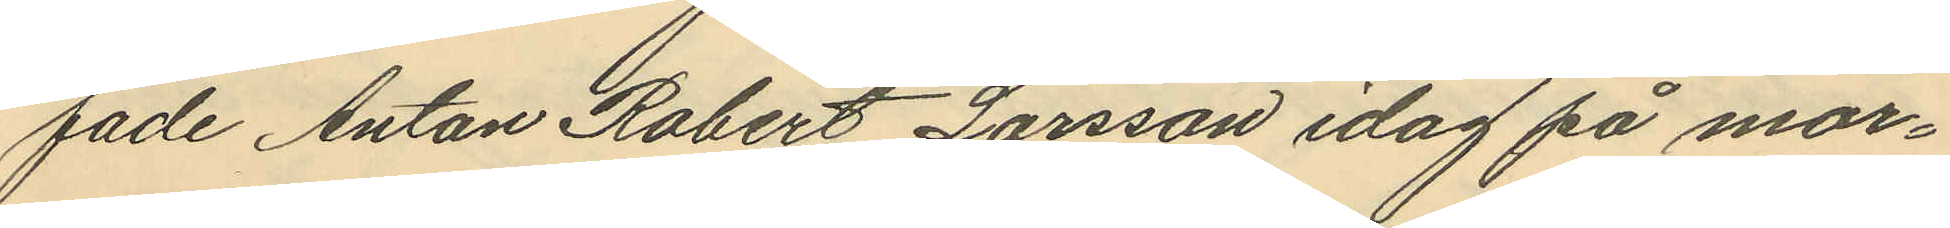fade Anton Robert Larsson idag på mor¬
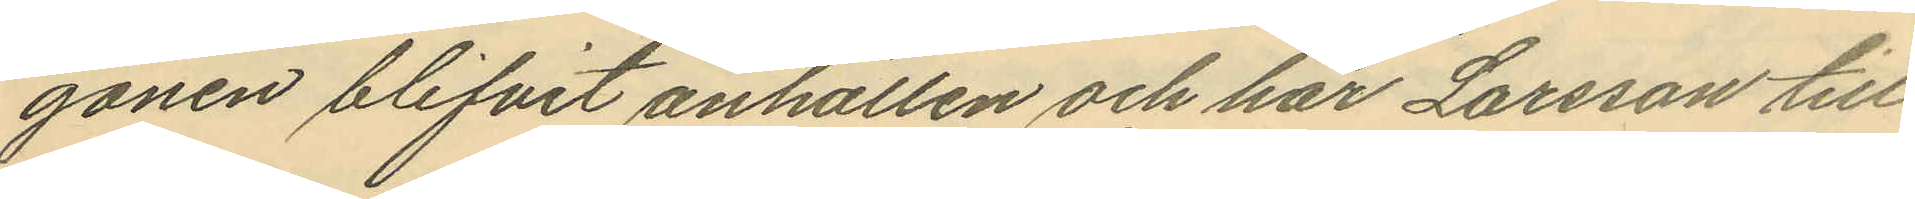gonen blifvit anhållen och har Larsson till
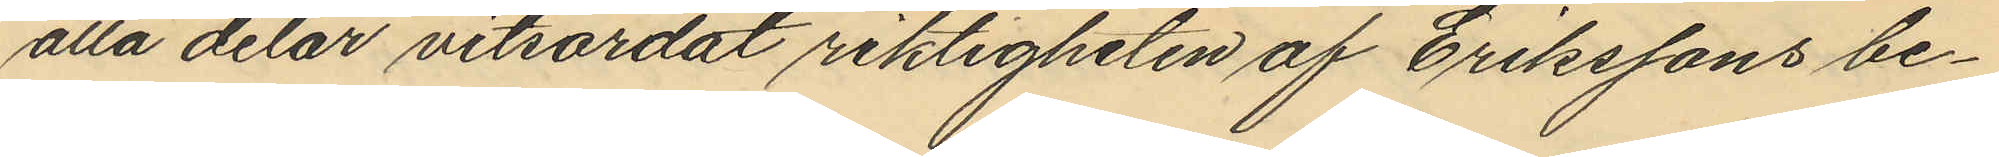alla delar vitsordat riktigheten af Erikssons be¬
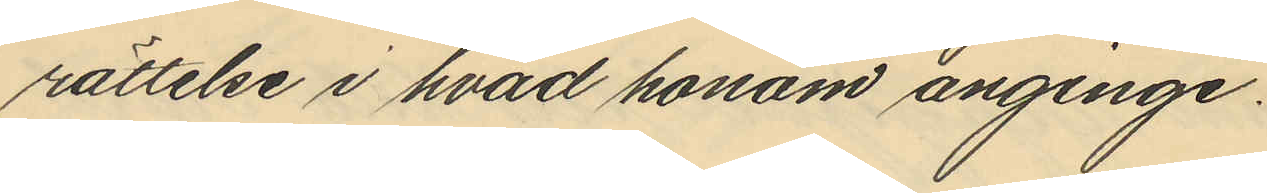rättelse i hvad honom anginge.
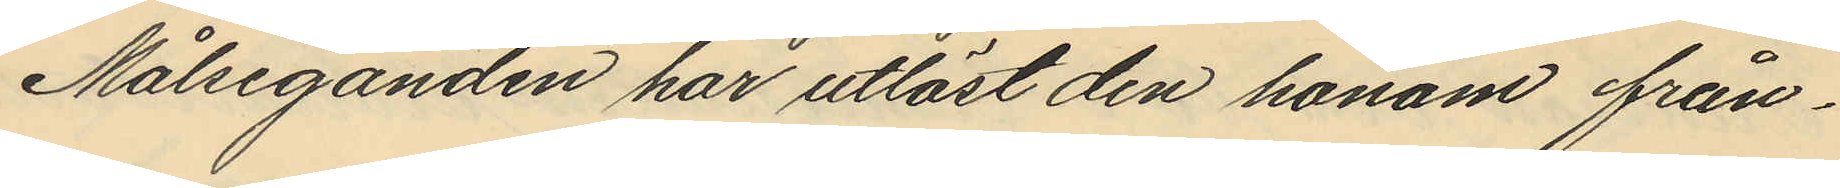Målseganden har utlöst den honom från¬
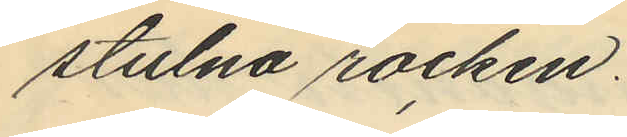stulna rocken.
